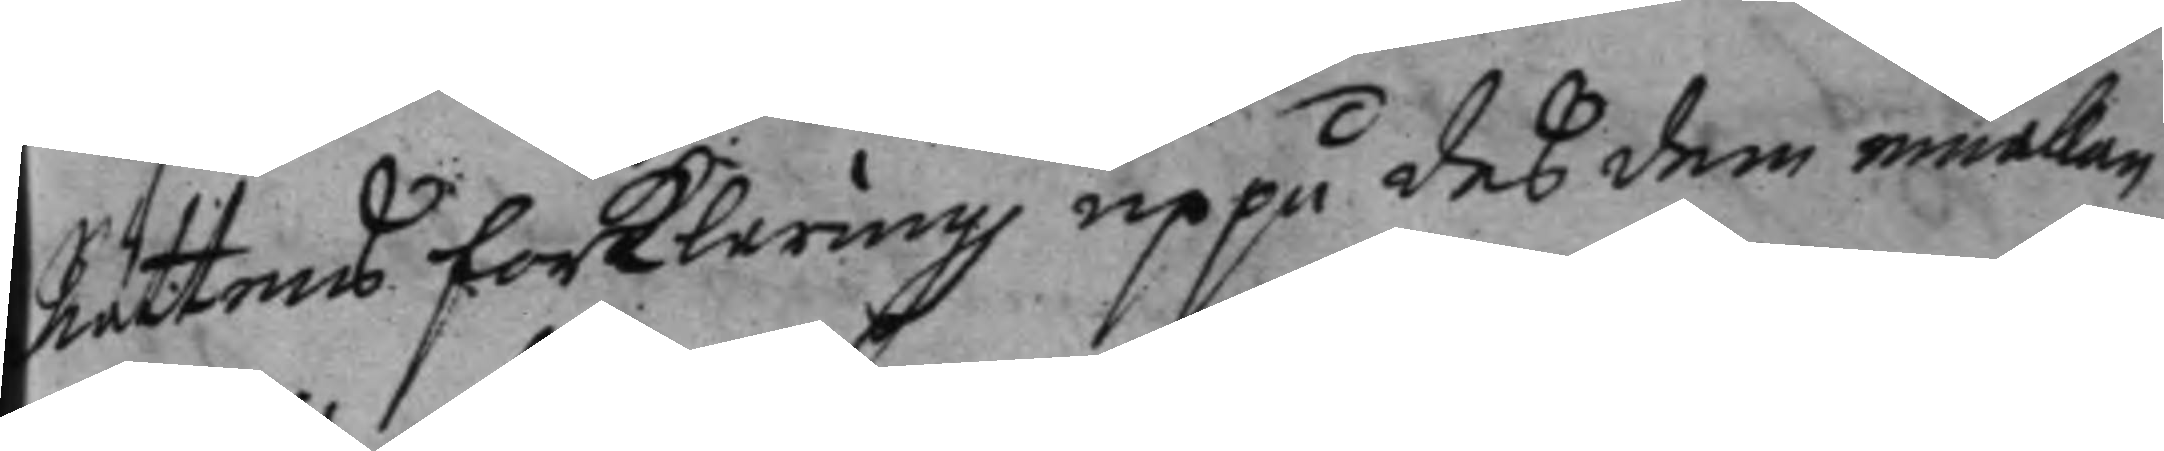Rättens forklaring uppå deß dem emellan
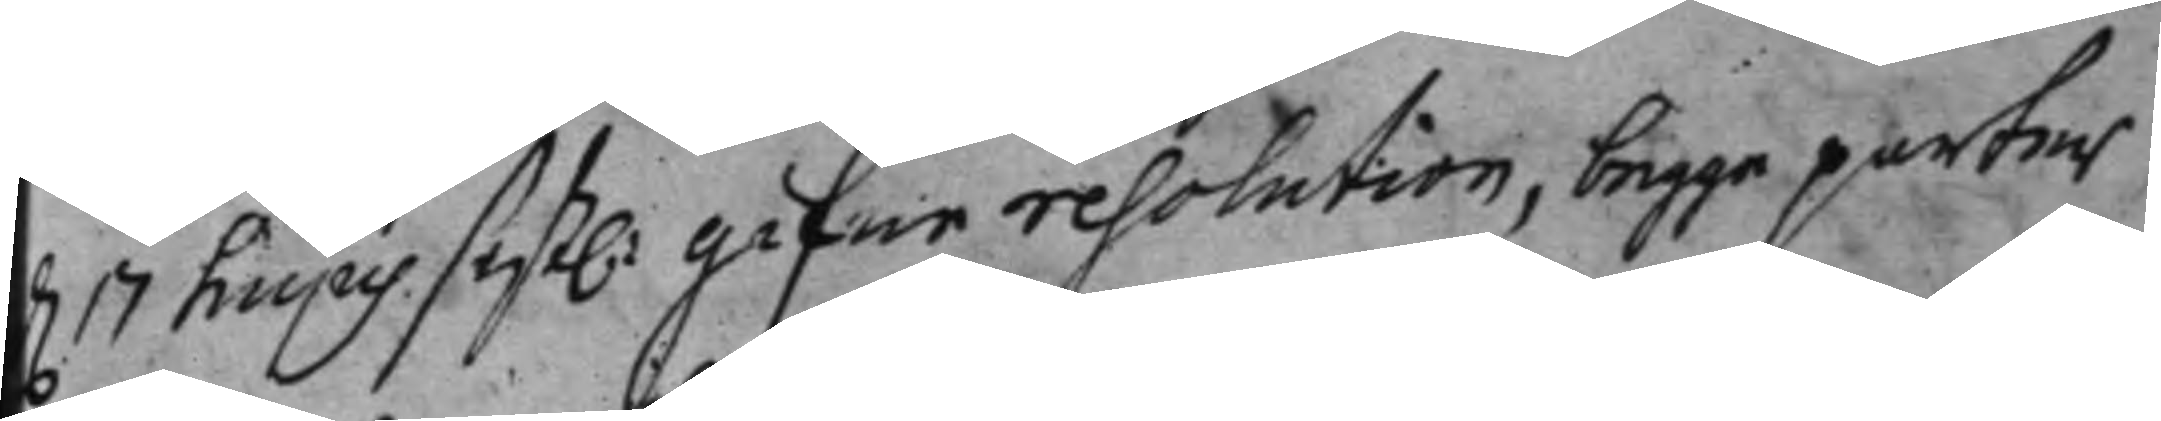d. 17 hujus sist.: gifne resolution, begge parters
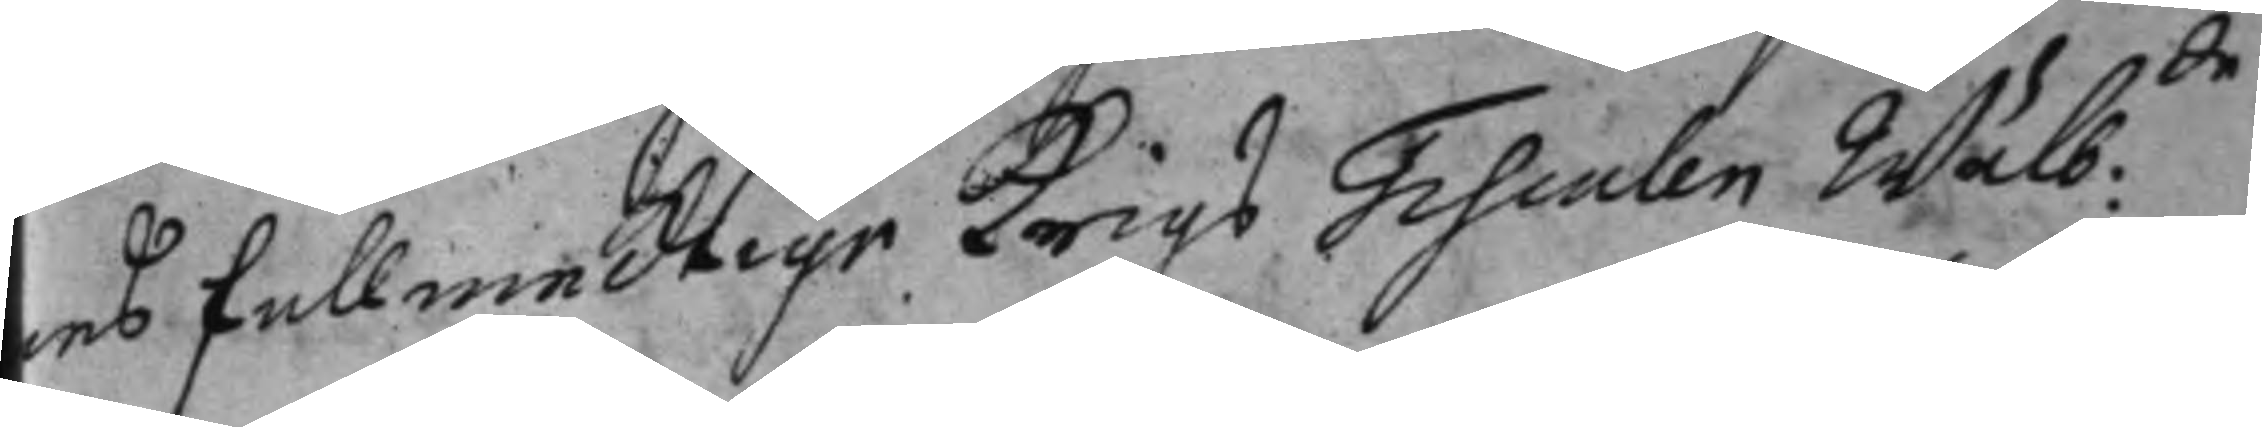eß fullmecktige Krigs Fiscalen Wälb:de
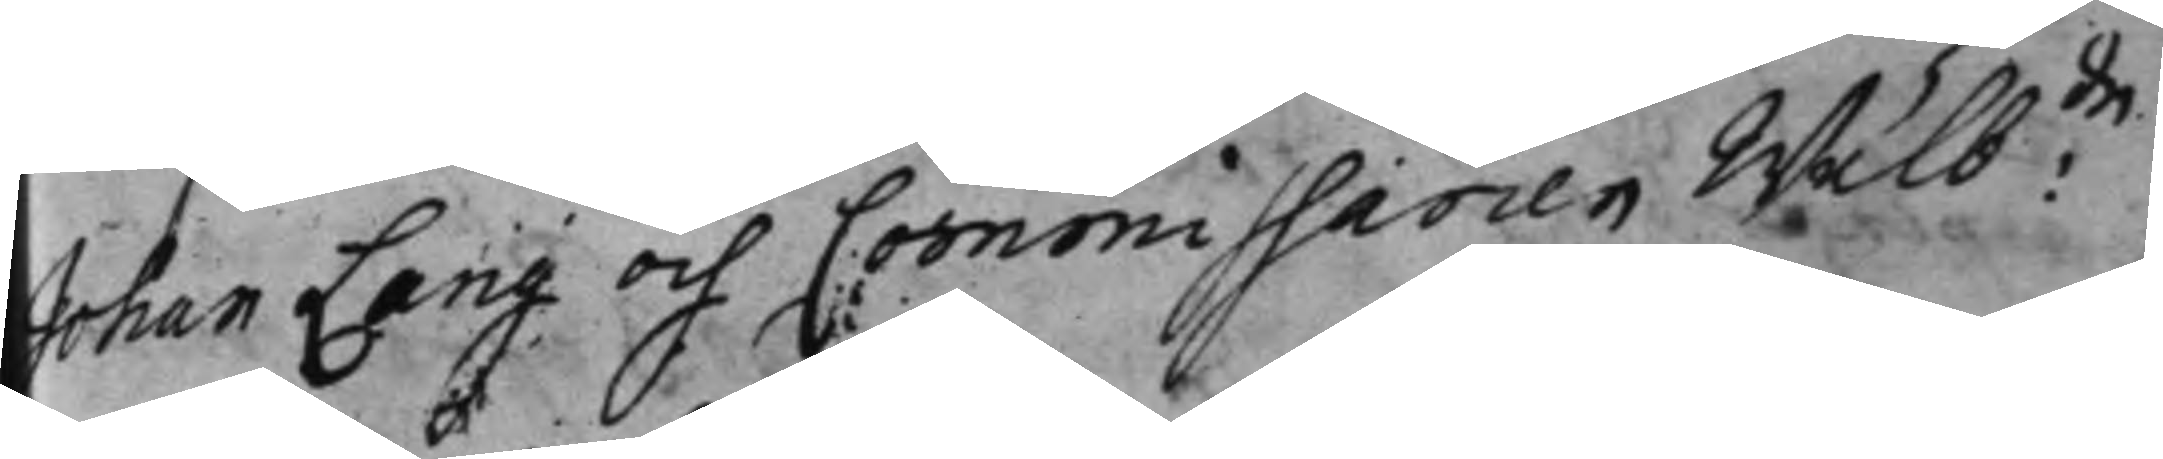Johan Lang och Commissarien Wälb:de
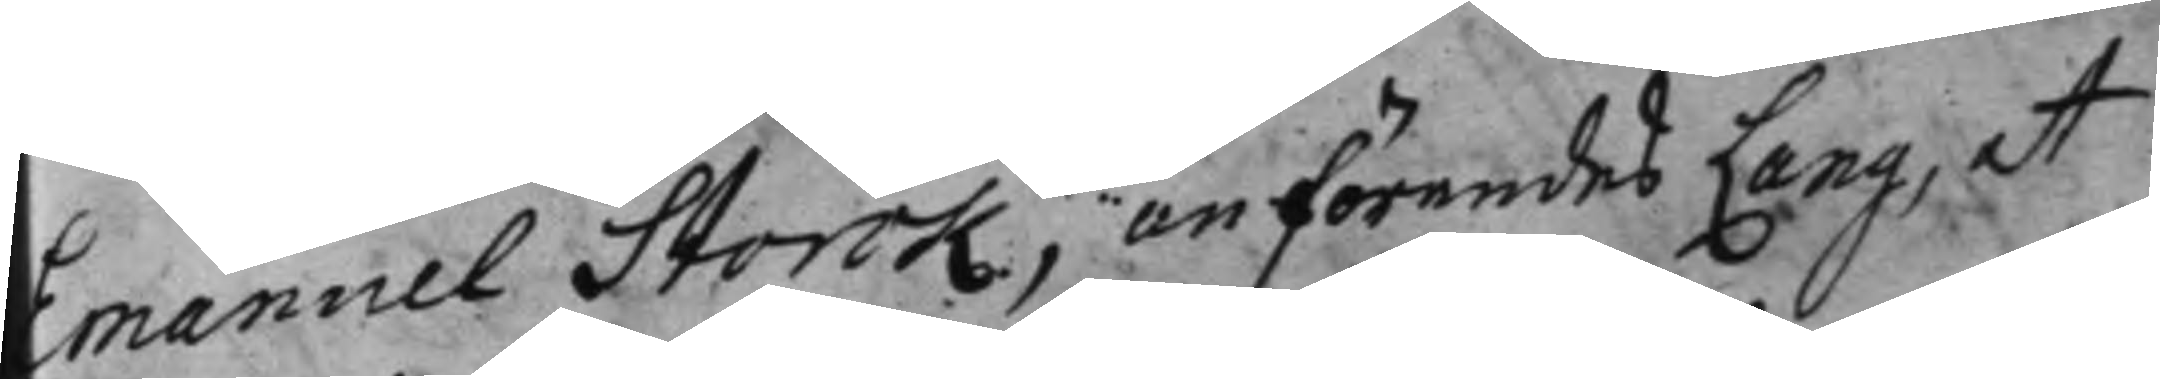Emanuel Storck, anförendes Lang, at
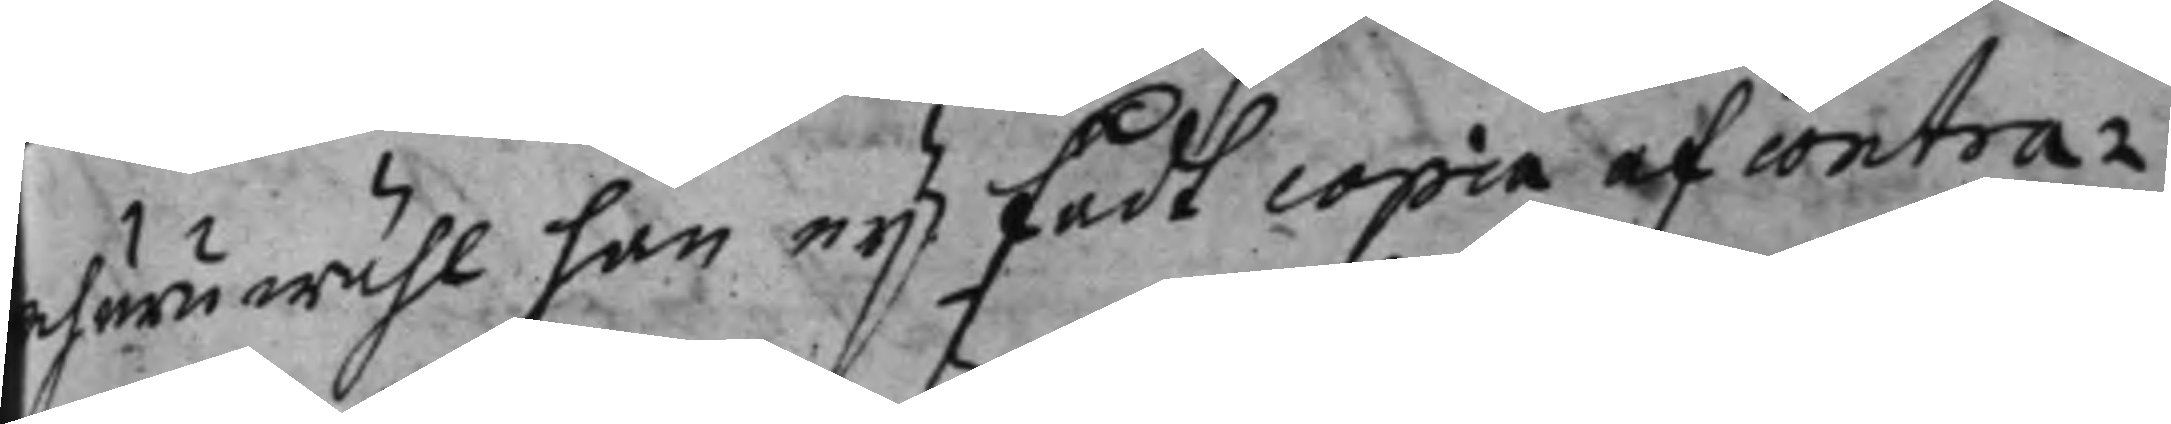ehuru wähl han nyß fådt copia af contra¬
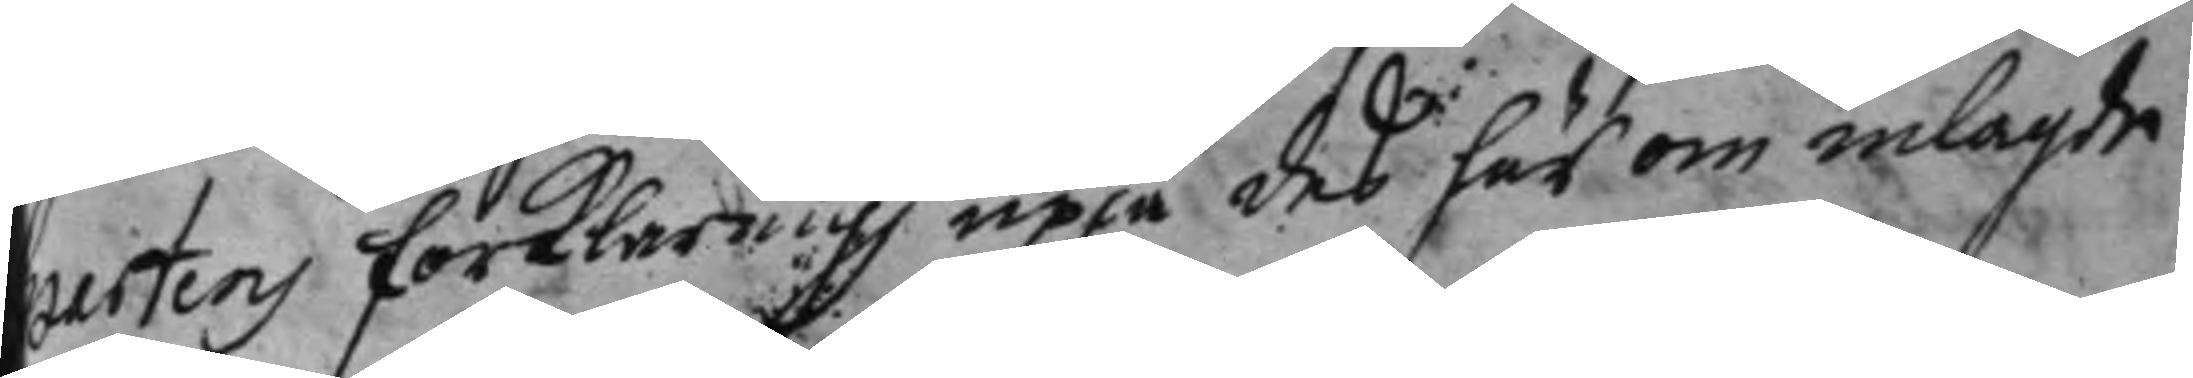partens forklaring uppå deß härom inlagde
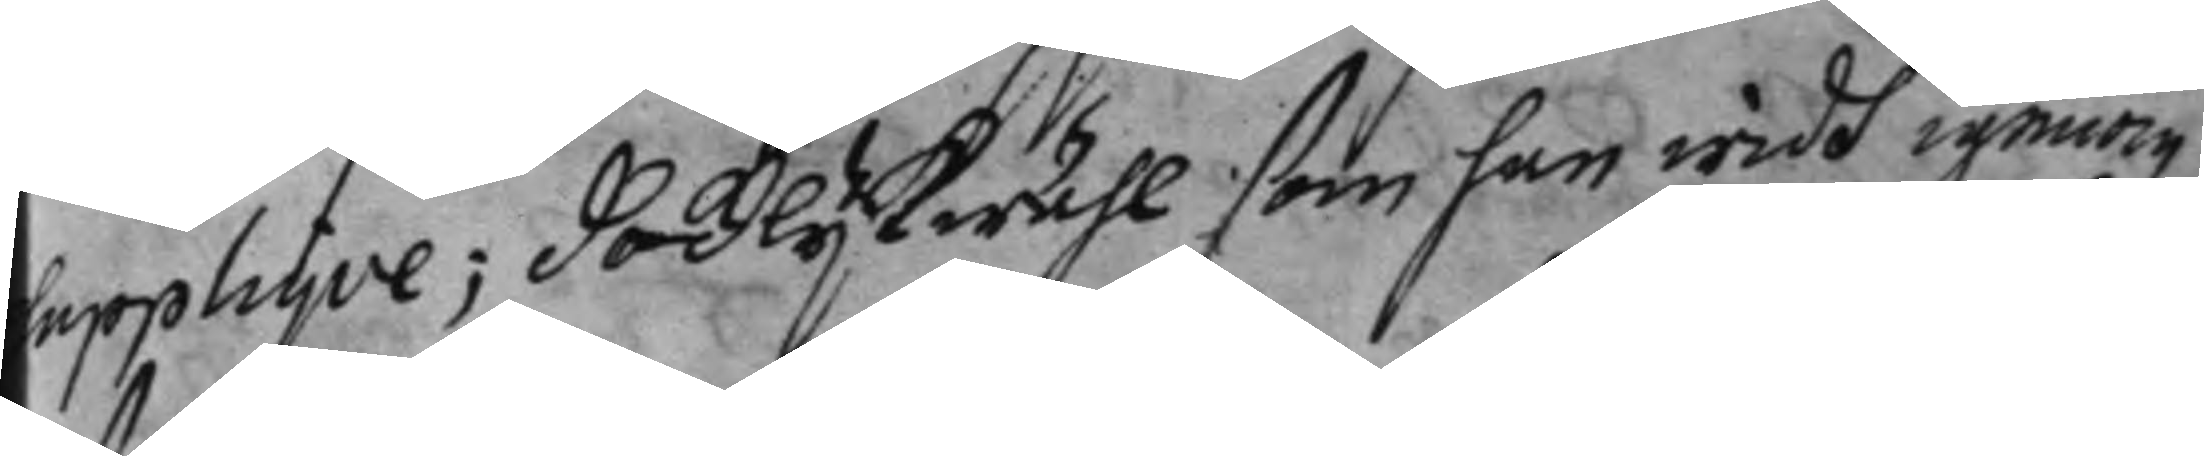supplique; Dock lijkwähl som han widh igenom¬
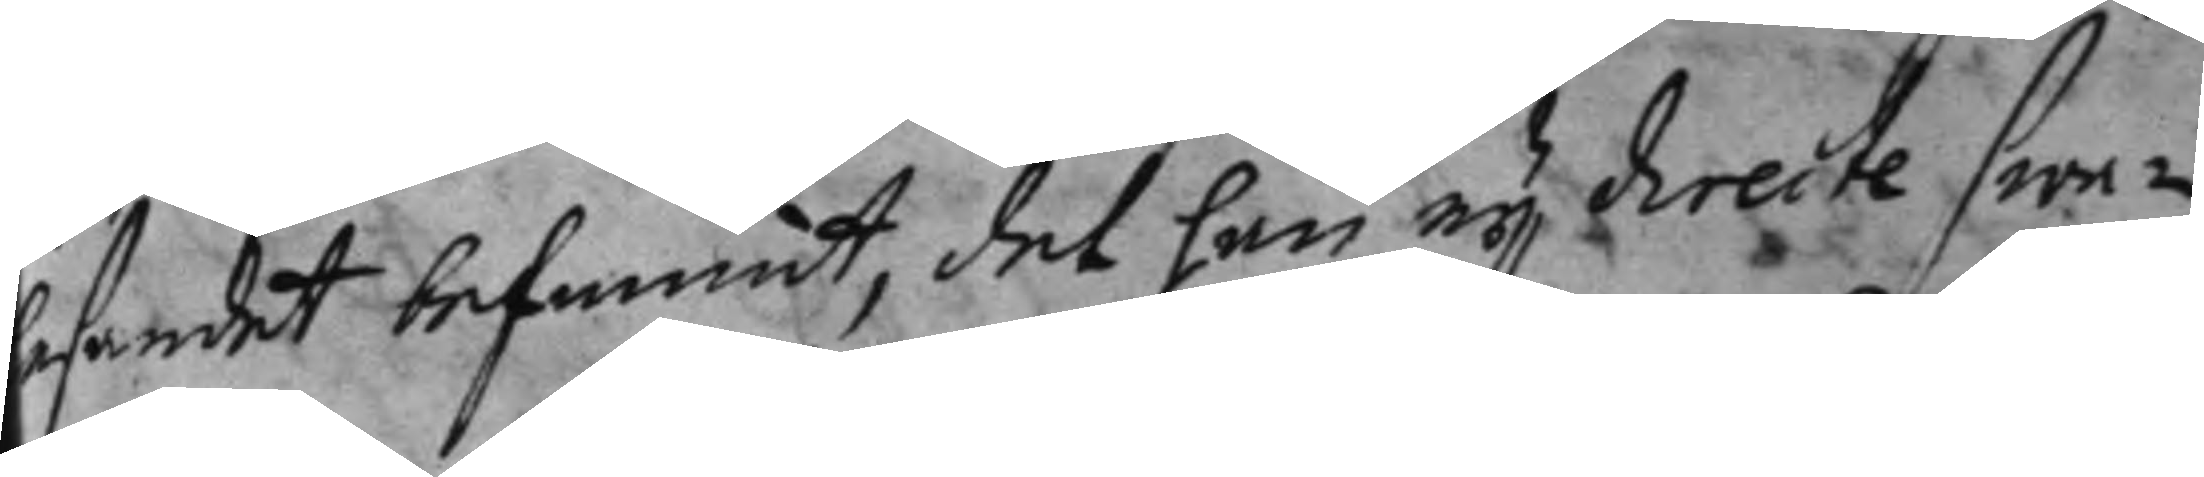lesandet befunnit, det han ej directe swa¬
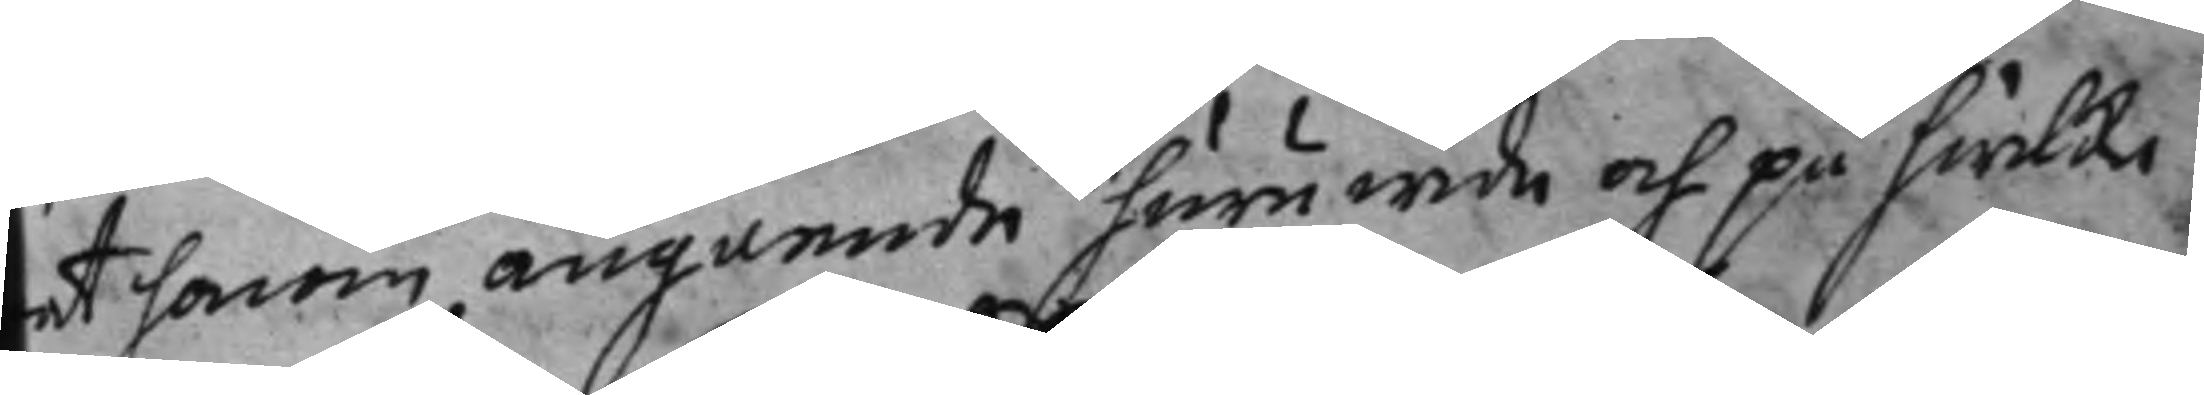rat honom, angående huruwida och på hwilke
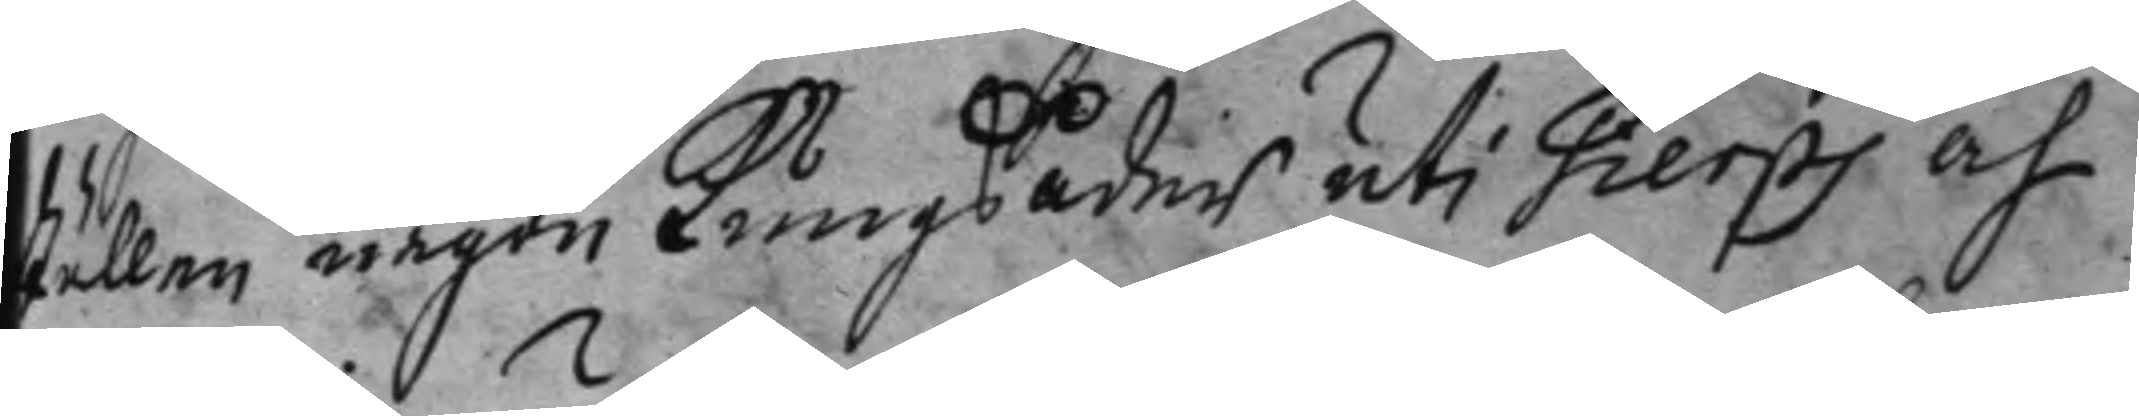ställen någon Kungsåder uti Tierps åh
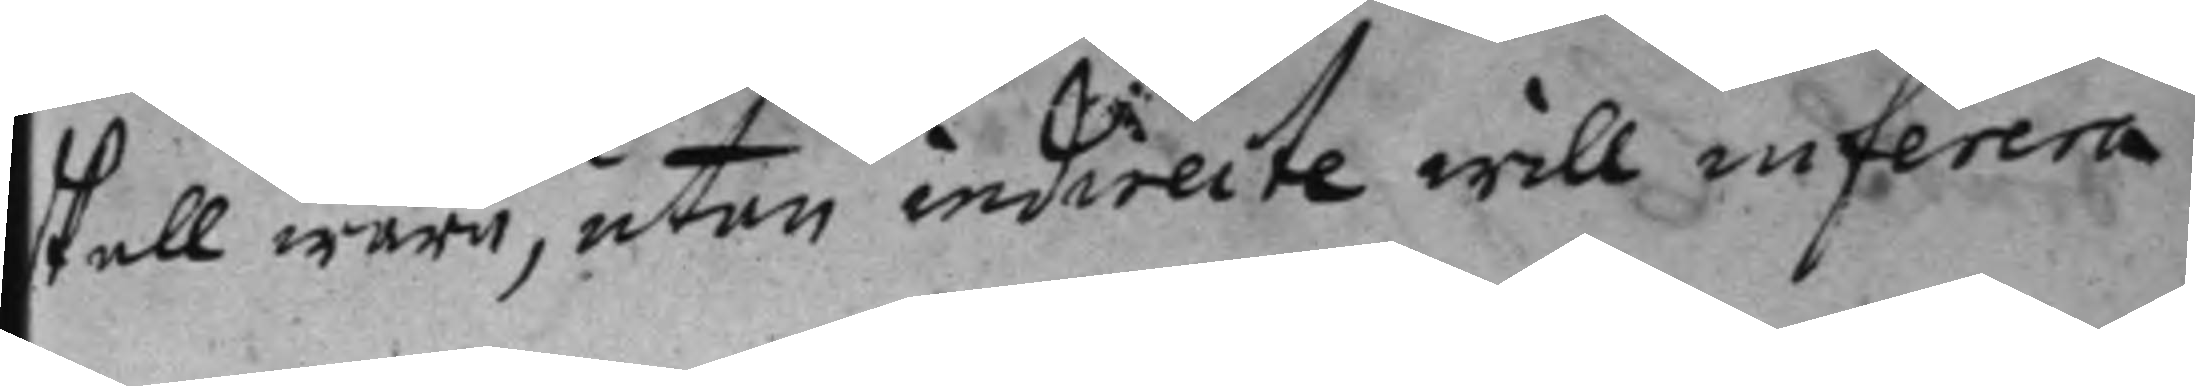skall wara, utan indirecte will inferera
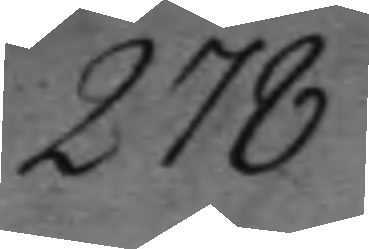278
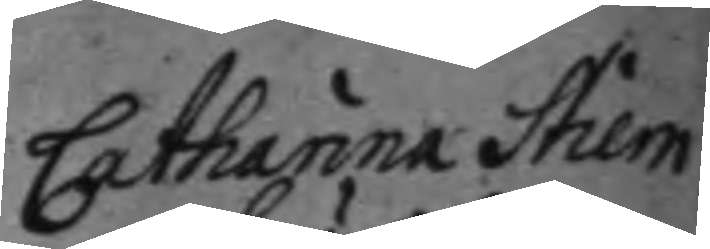Catharina Stiern¬
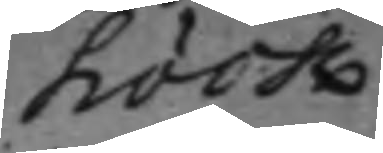höök
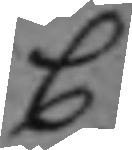C
